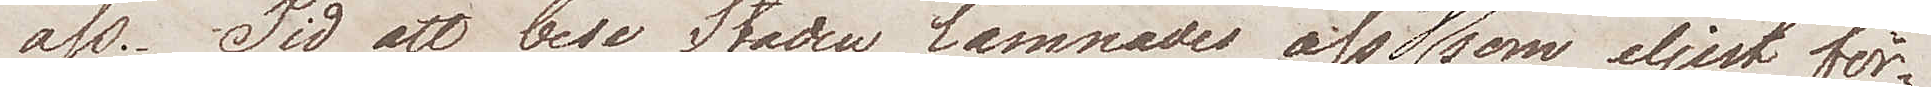oss. Tid att bese Staden lämnades oss ej som eljest för¬
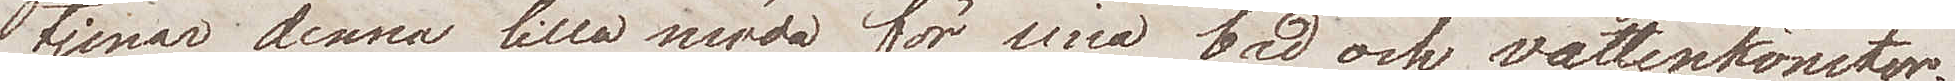tjenar denna lilla möda för sina bad och vattenkonster.
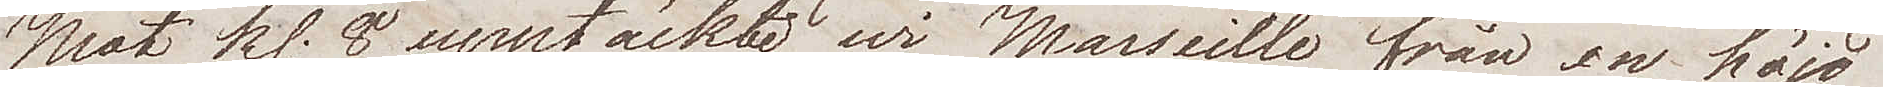Mot Kl. 8 upptäckte wi Marseille från en höjd
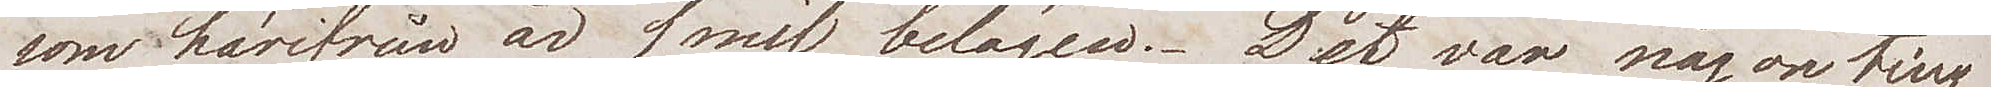som härifrån är 1 mil belägen. Det var någonting
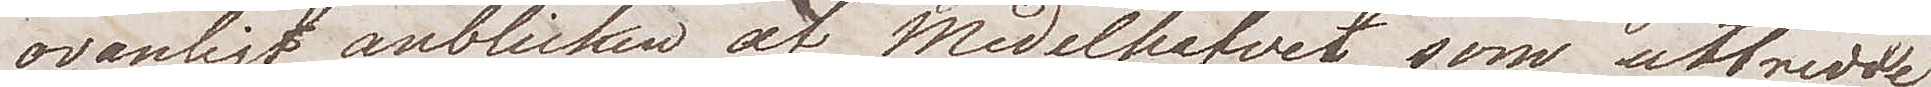ovanligt anblicken af Medelhafvet som utbredde
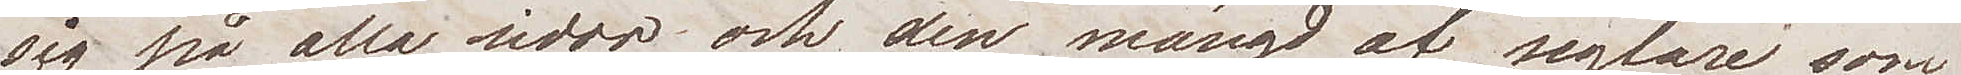sig på alla  sidor och en mängd af seglare som
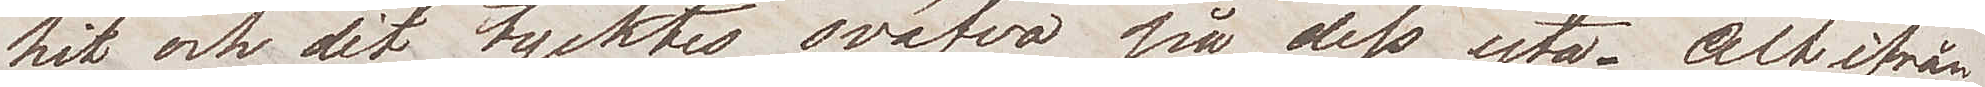hit och dit tycktes sväfva på dess yta. Altifrån
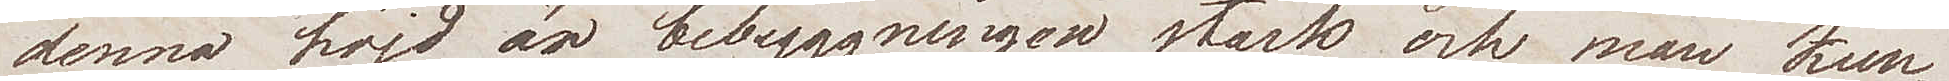denna höjd  är bebyggningen stark och man kun¬
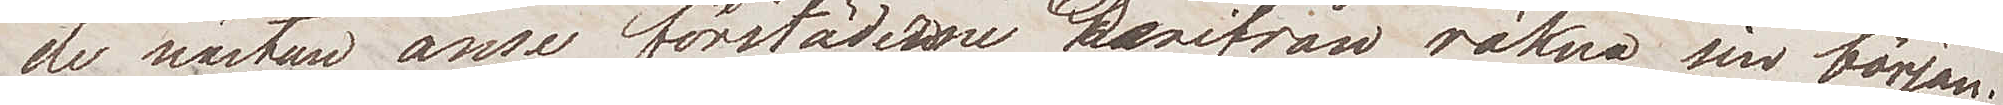de nästan anse förstäderna derifrån räkna sin början.
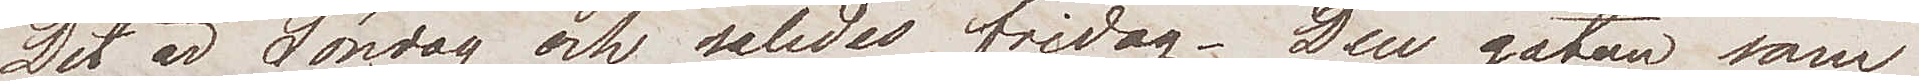Det är Lördag och således fridag. Den gatan som
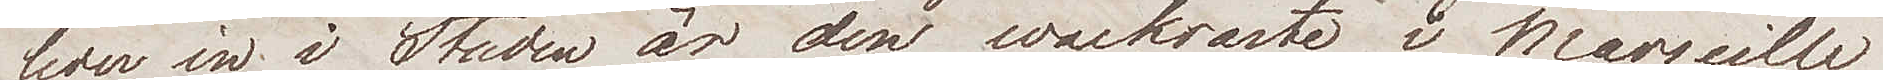leder in i Staden är den wackraste i Marseille
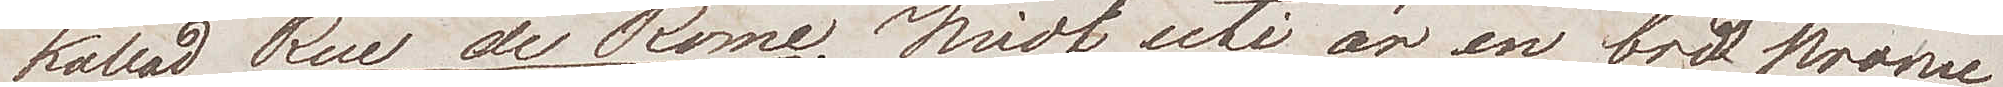kallad Rue de Rome. Midt uti är en bred prome¬
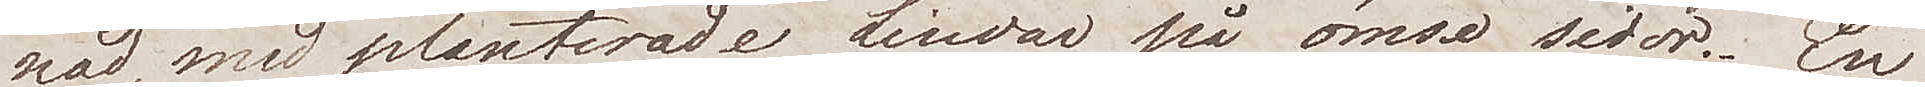nad, med planterade Lindar på ömse sidor. En
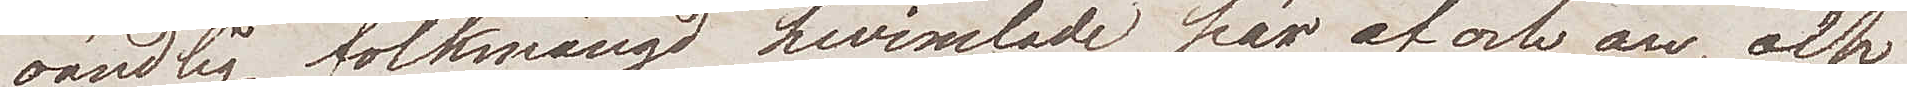oändlig folkmängd hwimlade här af och an, och
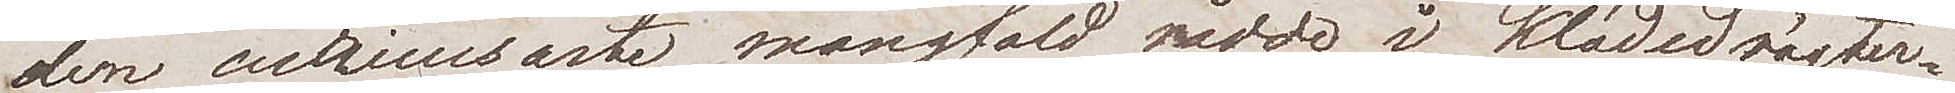den curieusaste mångfald rådde i klädesdrägter¬
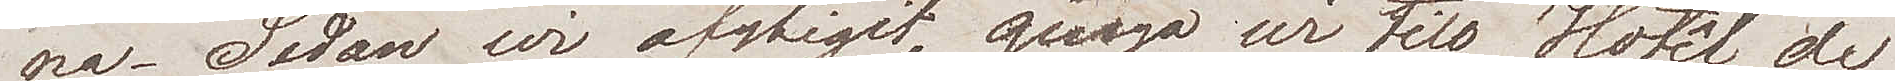na. Sedan wi afstigit, gingo wi till Hotêl de
